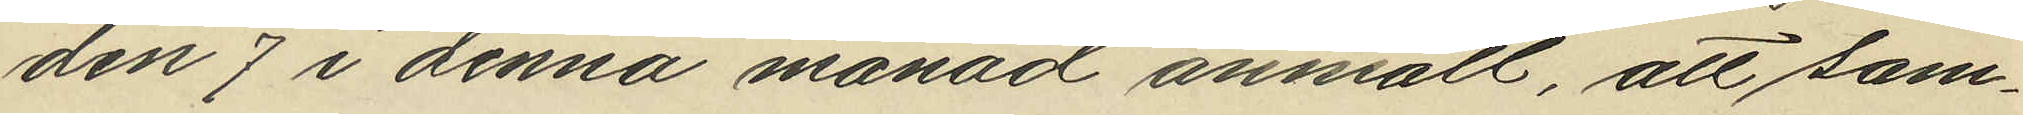den 7 i denna månad anmält, att sam¬
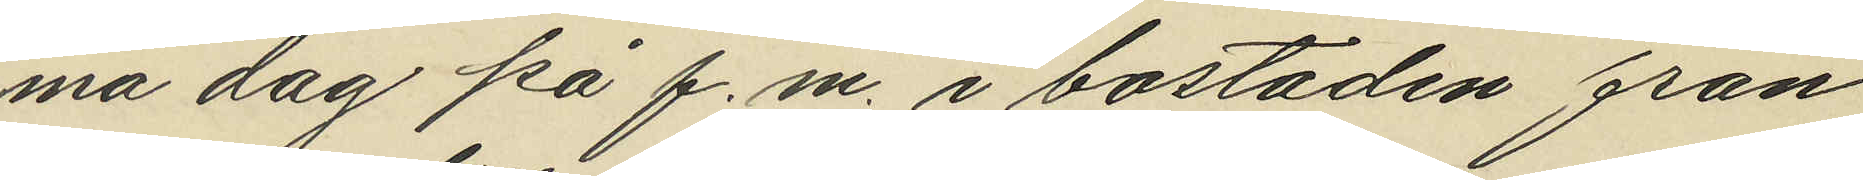ma dag på f.m. i bostaden från
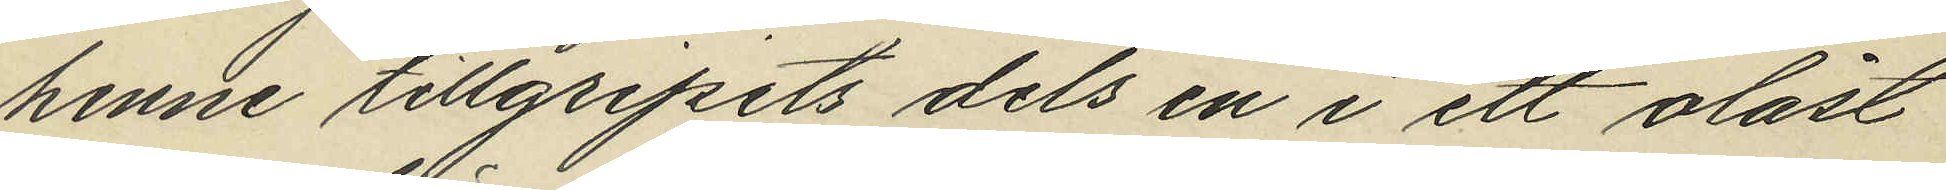henne tillgripits dels en i ett olåst
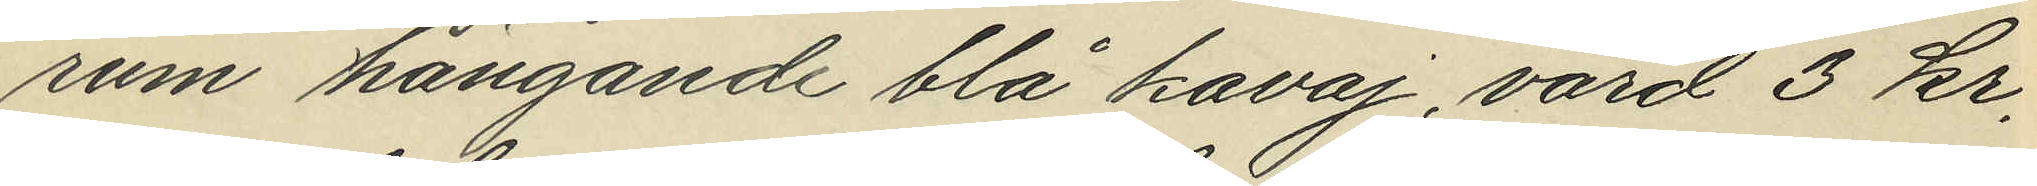rum hängande blå kavaj, värd 3 kr,
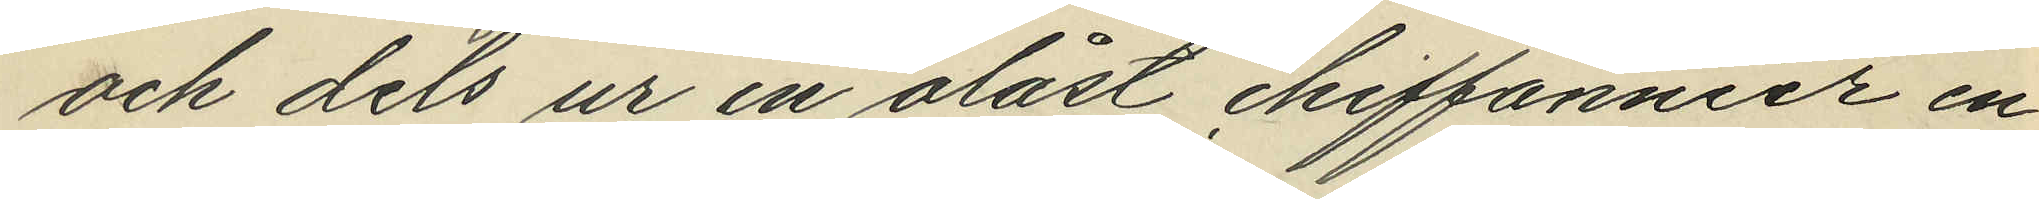och dels ur en olåst chiffonnier en
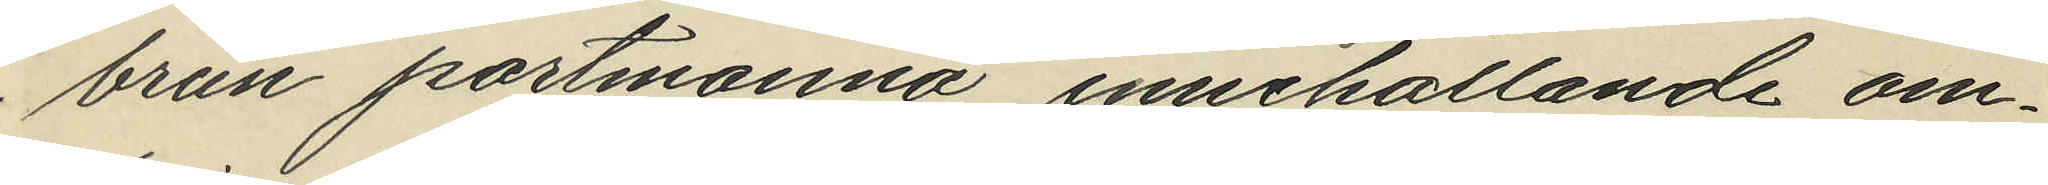brun portmonnä, innehållande om¬
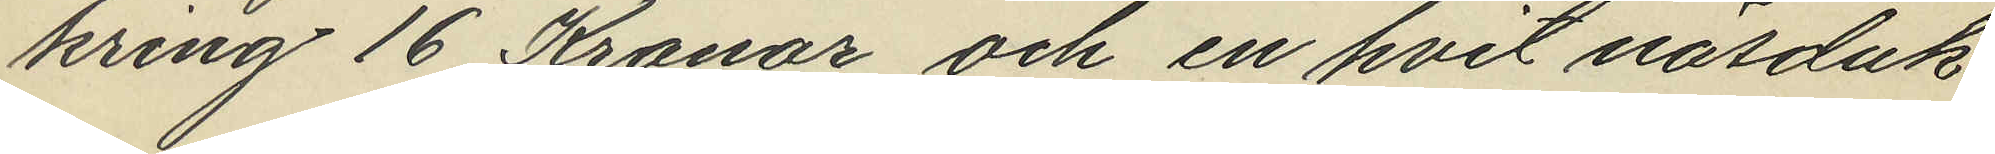kring 16 Kronor och en hvit näsduk
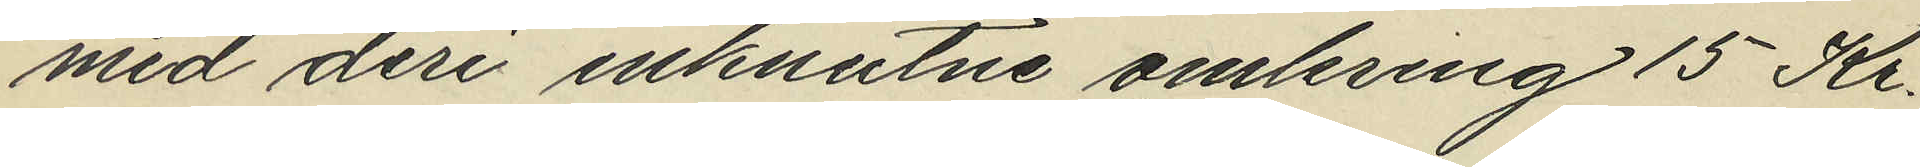med deri inknutne omkring 15 Kr.
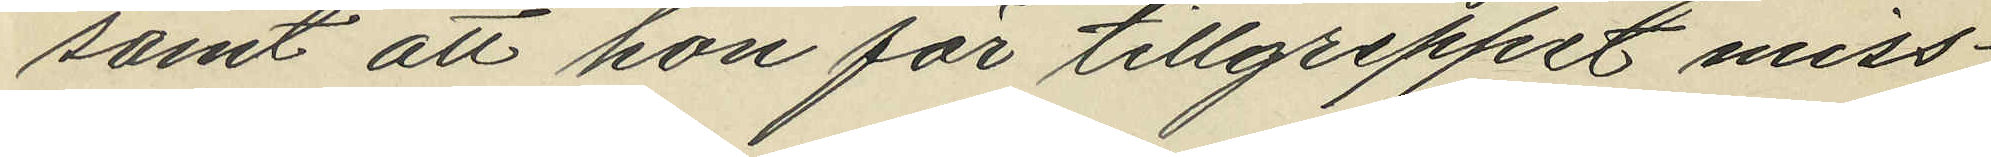samt att hon för tillgreppet miss¬
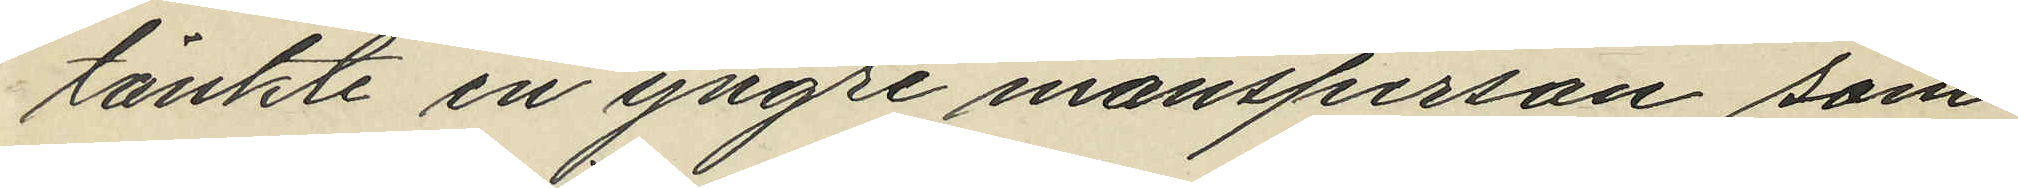tänkte en yngre mansperson som
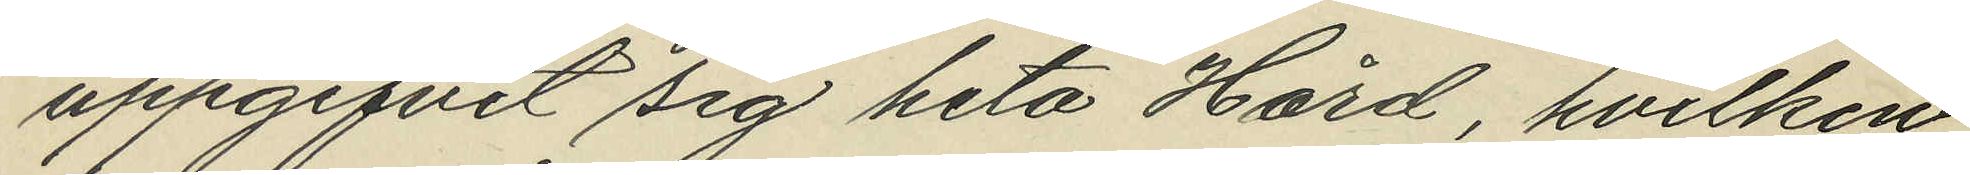uppgifvit sig heta Hård, hvilken
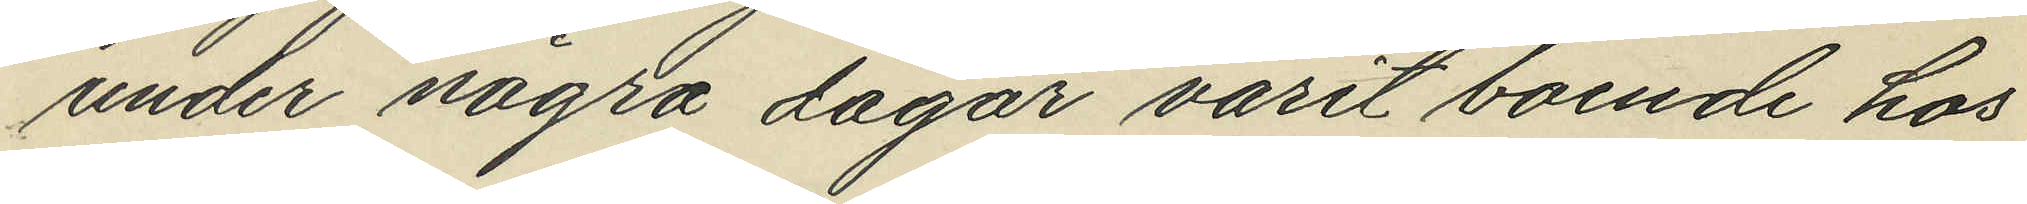under några dagar varit boende hos
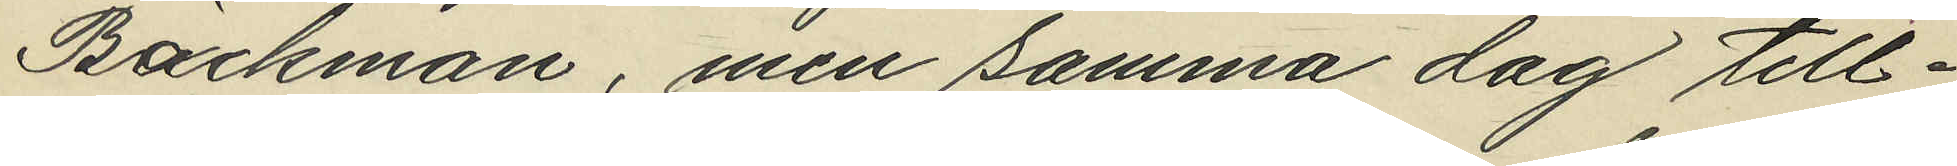Backman, men samma dag till¬
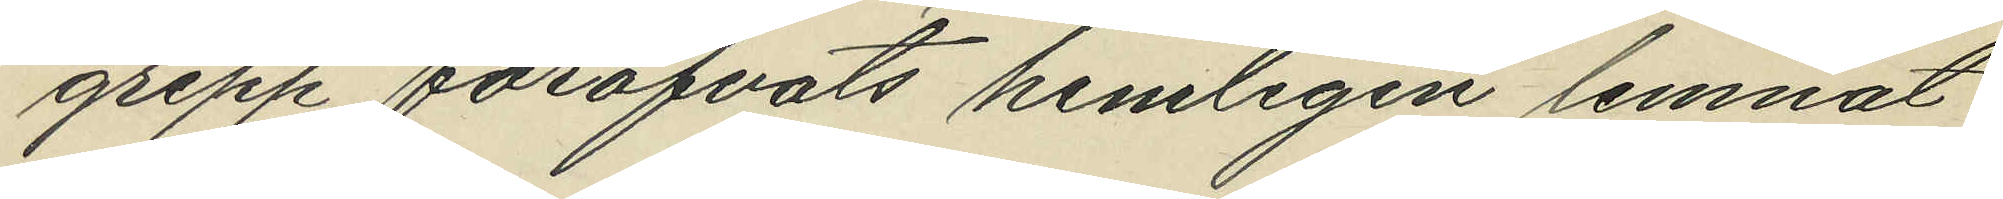grepp föröfvats hemligen lemnat
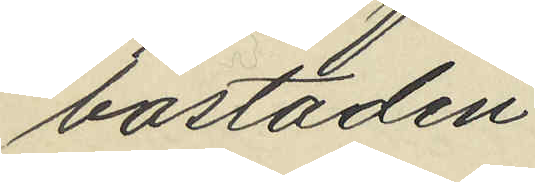bostaden.
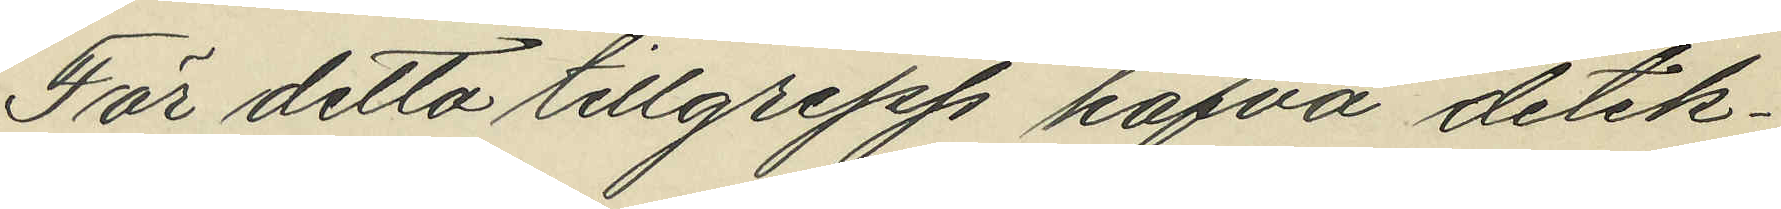För detta tillgrepp hafva detek¬
